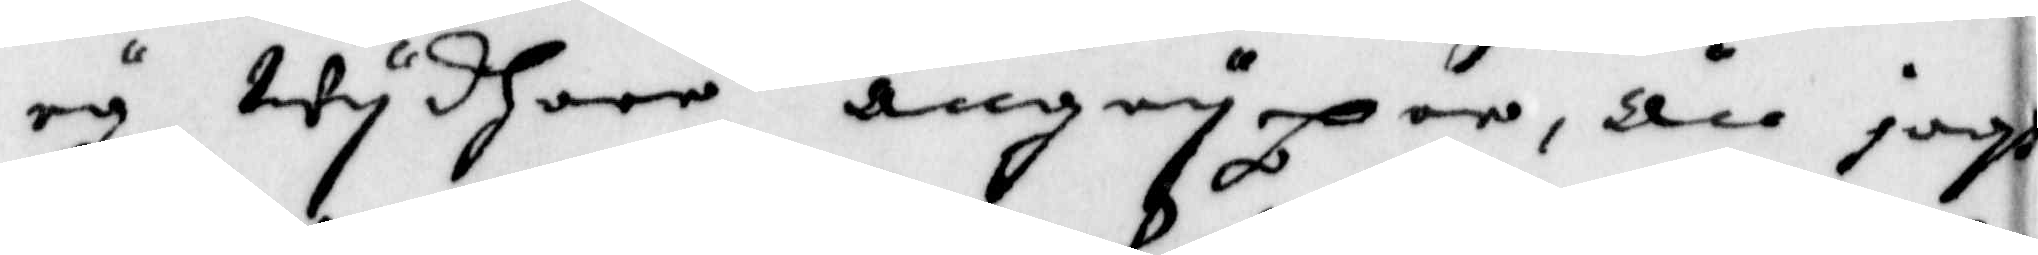ey Wydhare angryper, Än iagh
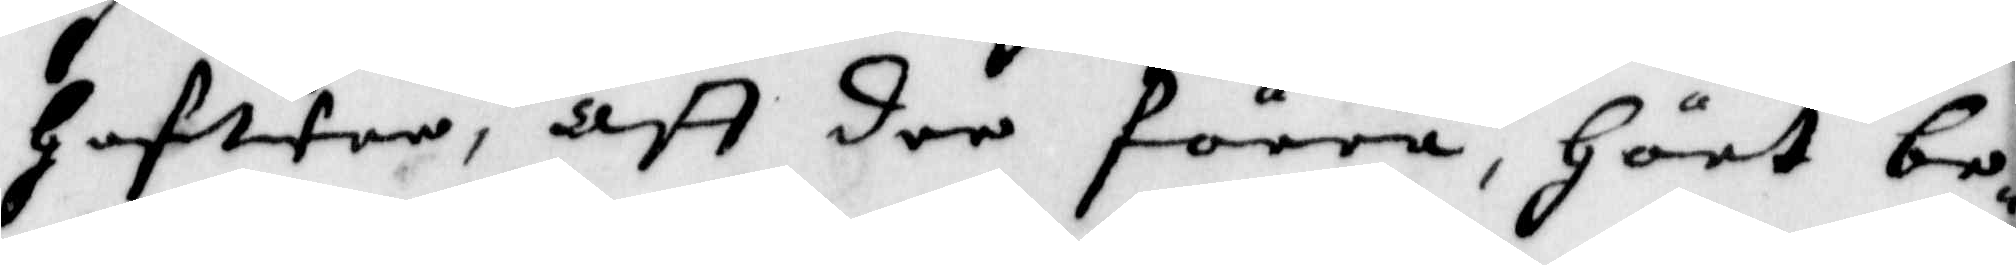Hafwer, Att der förra, Hört be¬
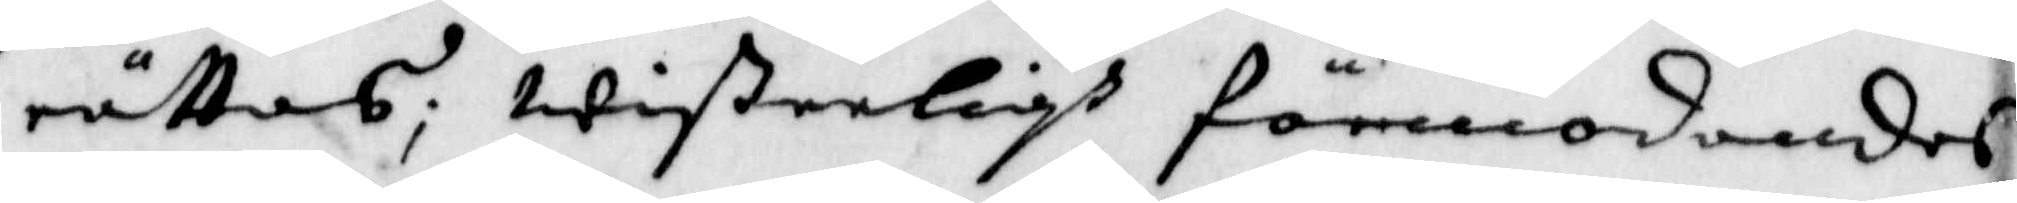rättas; Wißerligh förmodandes,
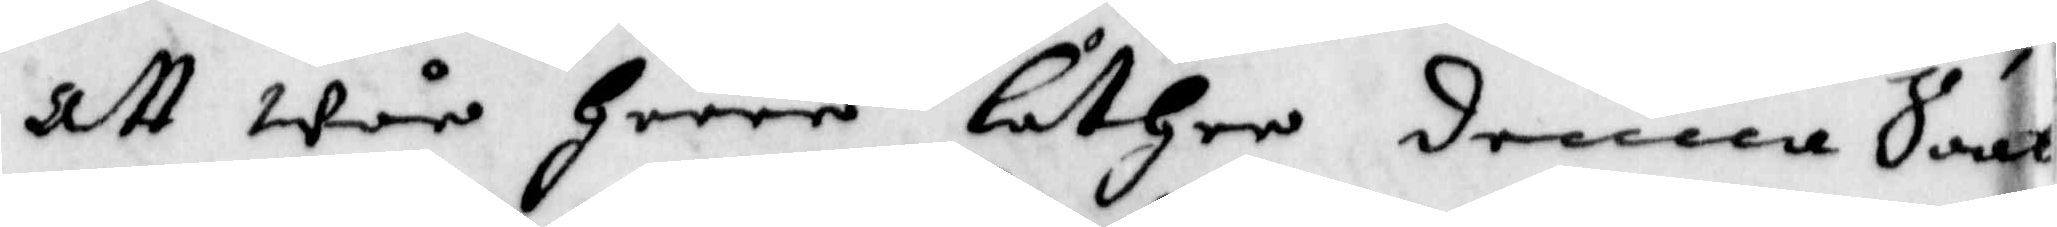att wär Herre låther denna Saak
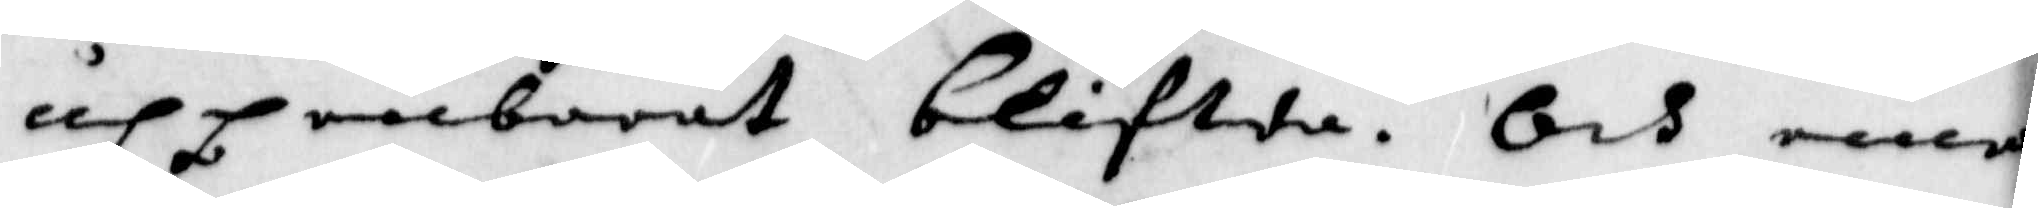uppenbarat Blifwa. Och ena
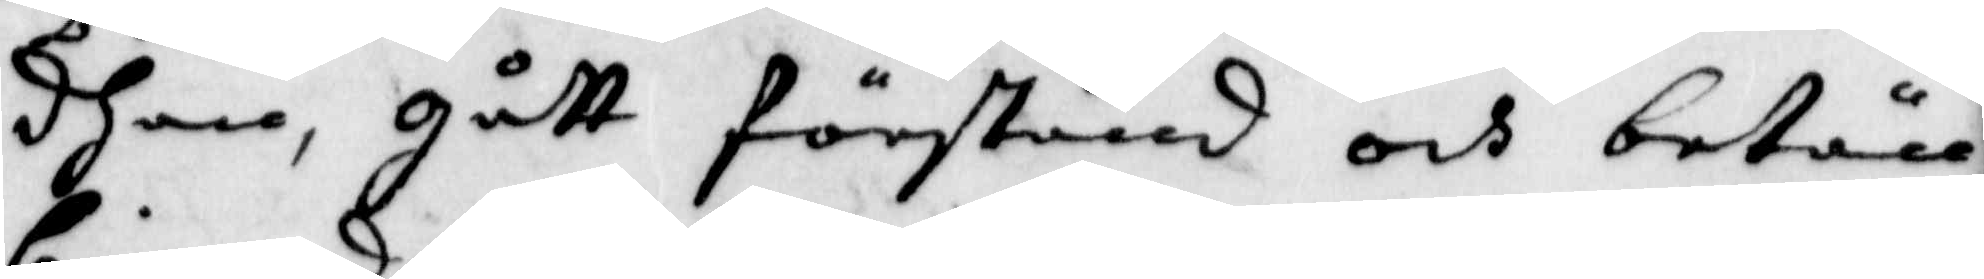dhem, Gått förstånd och betän¬
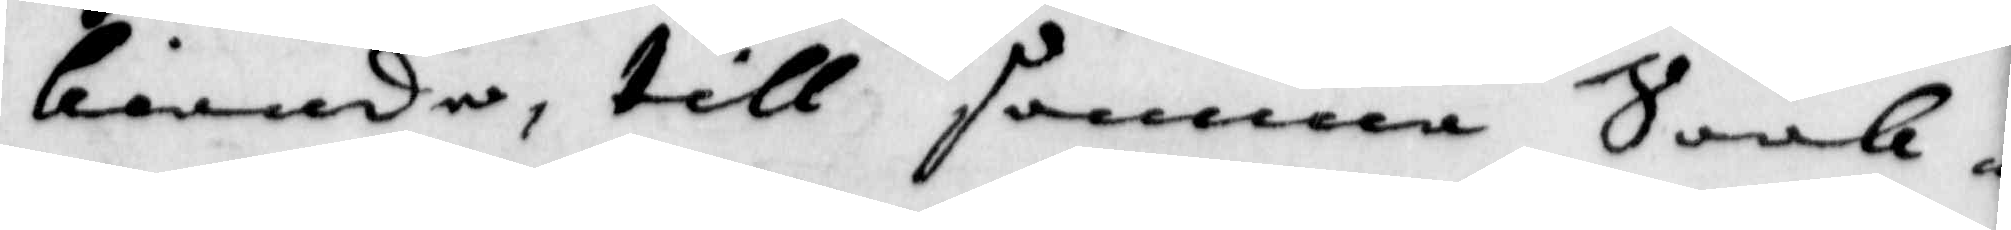kiande, till samma Saak
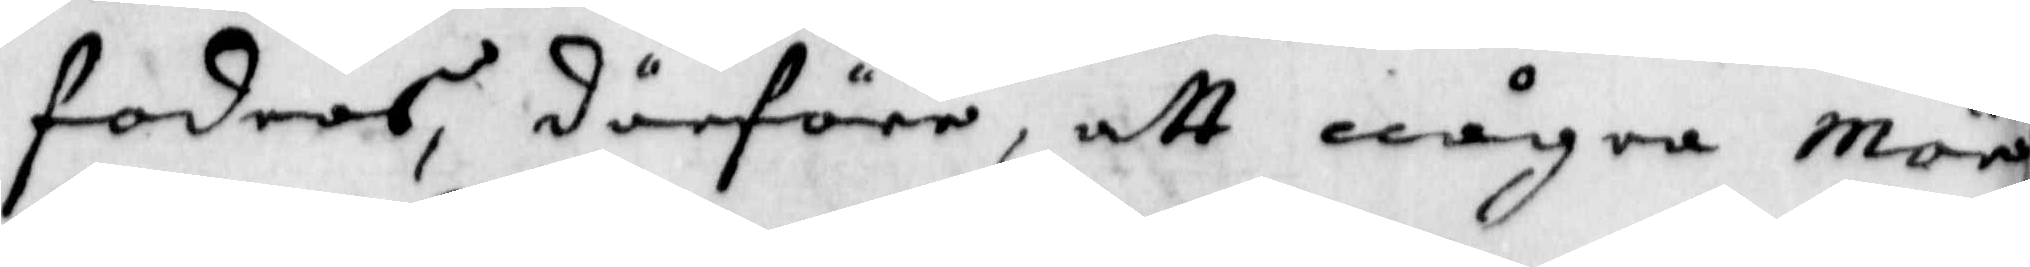fodras, därföre, att några Mär¬
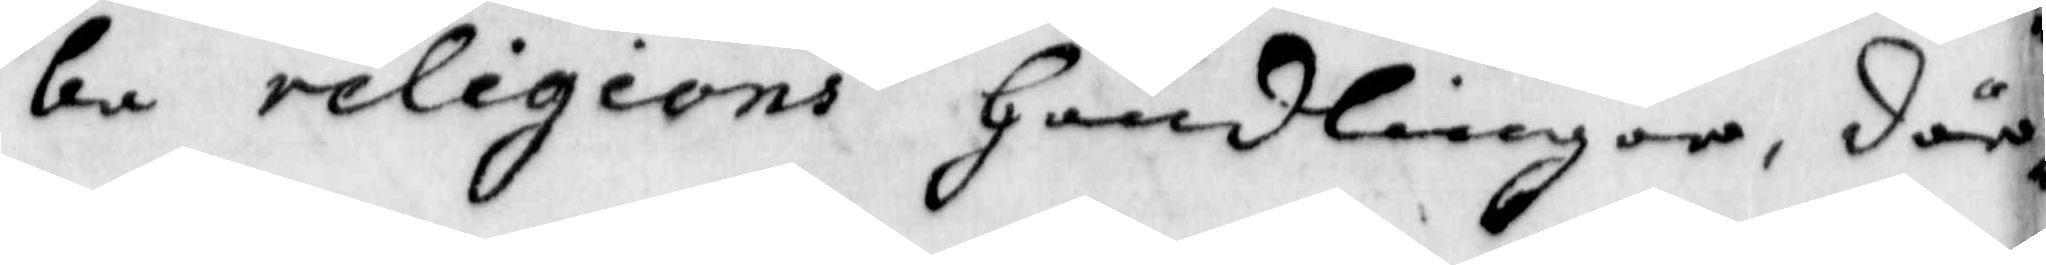ka religions Handlingar, där
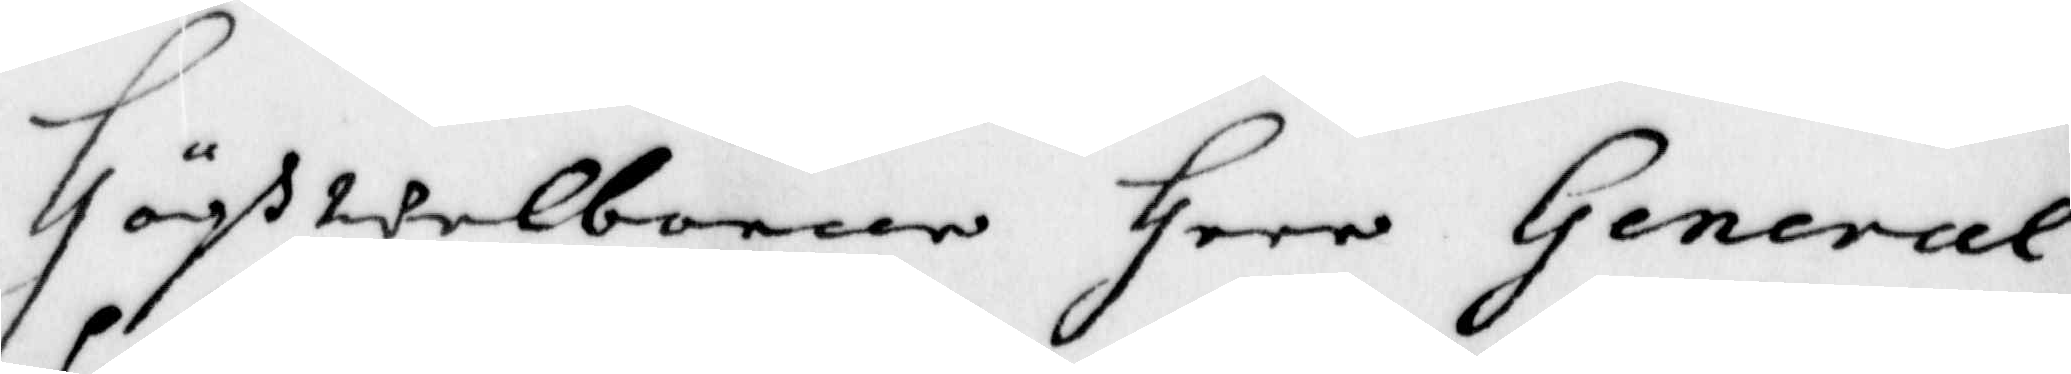Höghwelborne Herr General
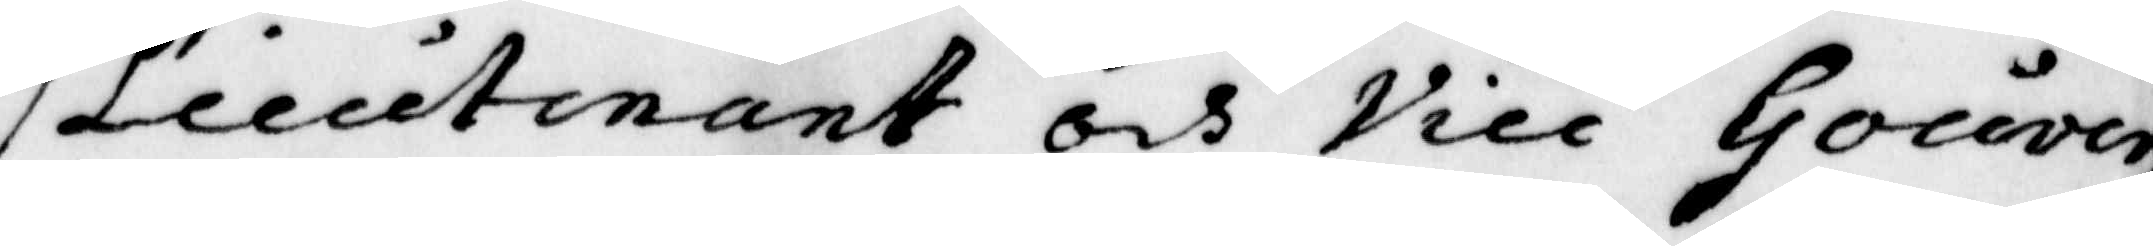Liuitnant och Vice Gouver¬
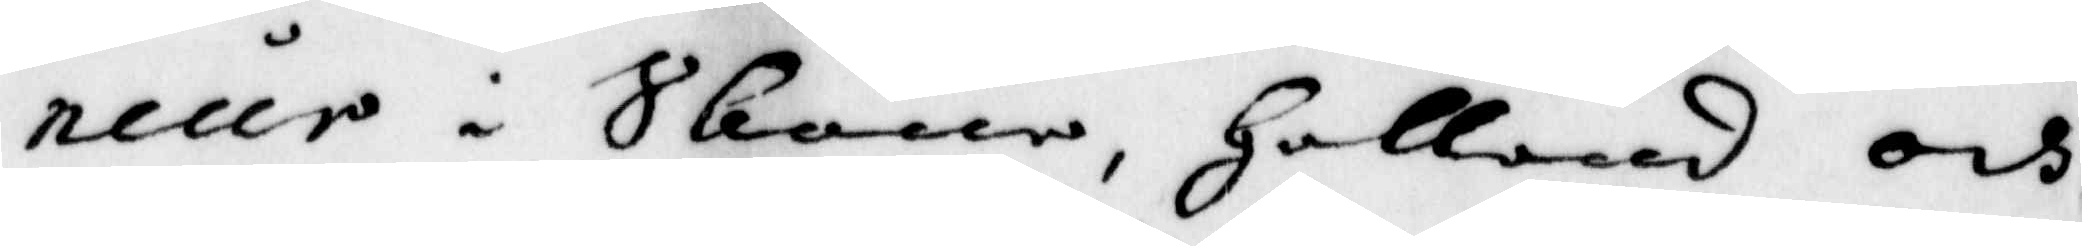neur i Skone, Halland och 
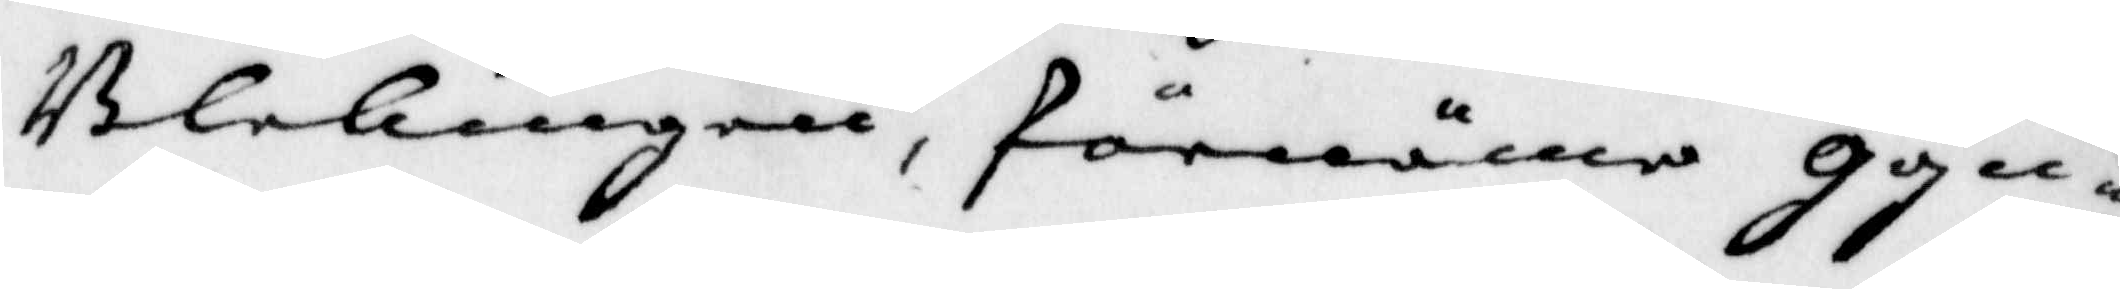Blekingen, förnäma gyn¬
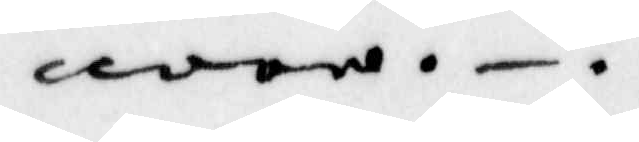nare.
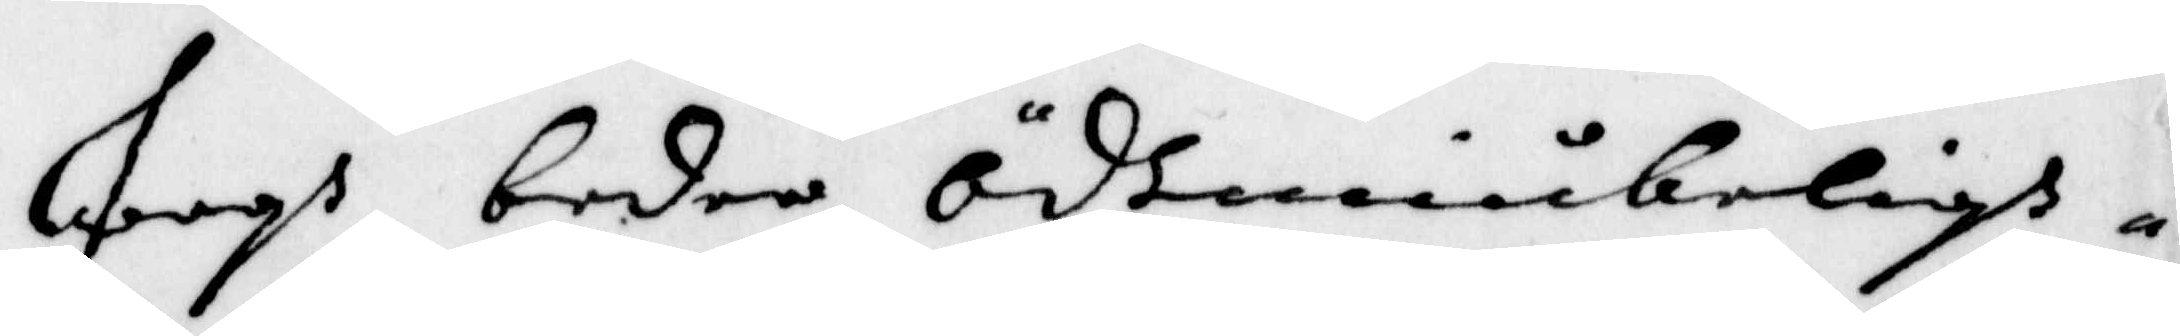Jagh beder ödmiukeligh
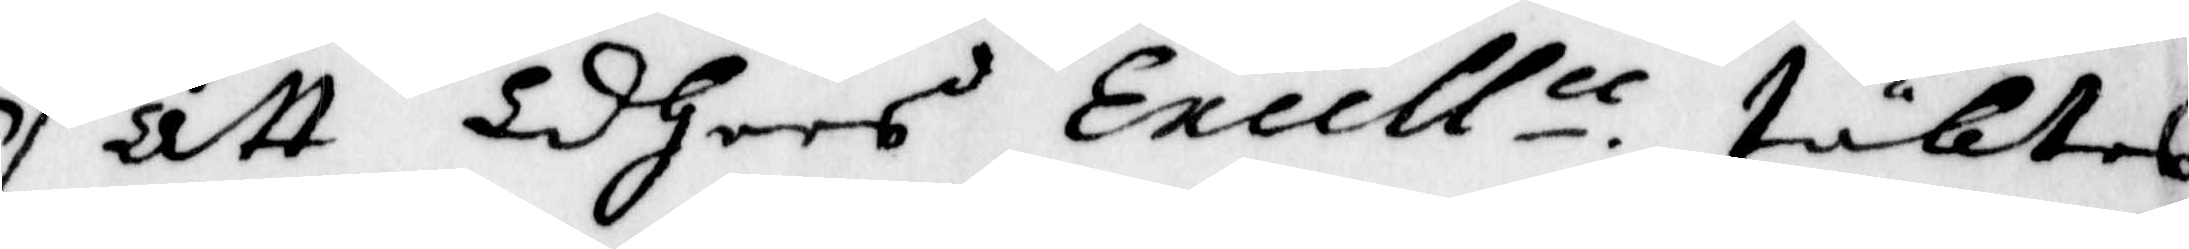att Edhers Excell.n täktes
